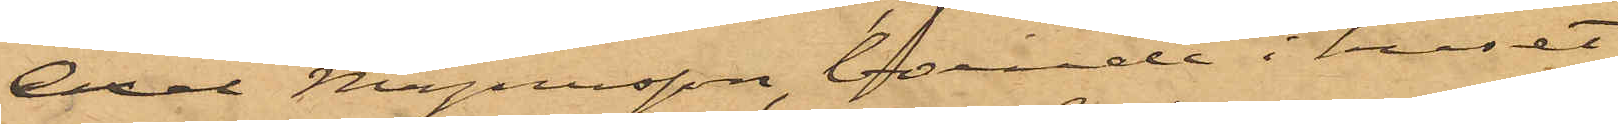Axel Magnusson, boende i huset
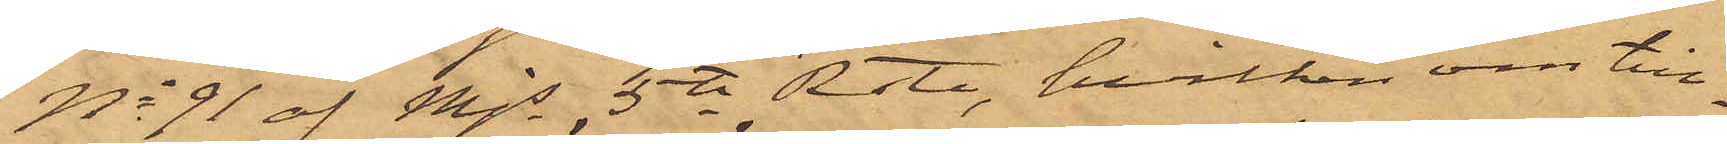No 91 af Mjs 5te Rote, hvilken om till¬
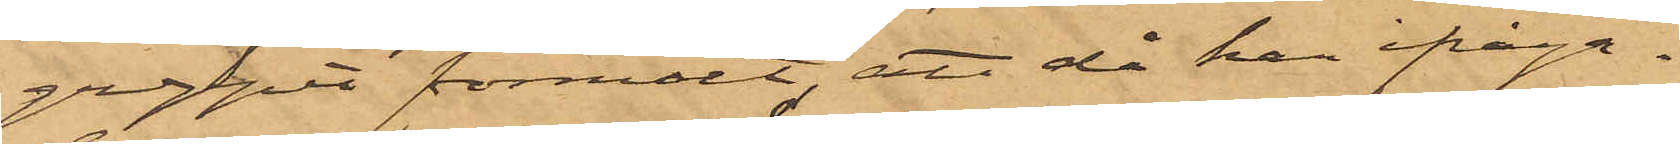greppet förmält, att då han ifråga¬
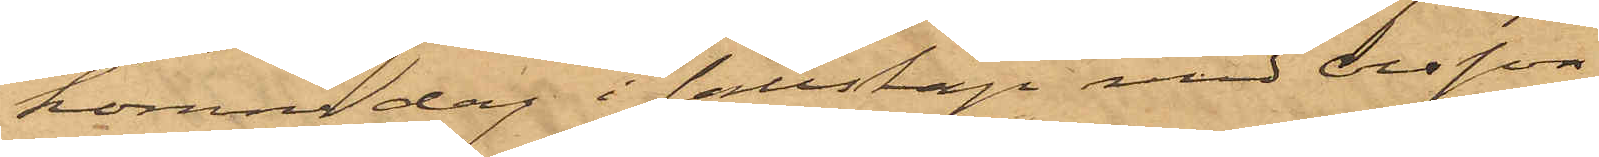komne dag i sällskap med Olsson
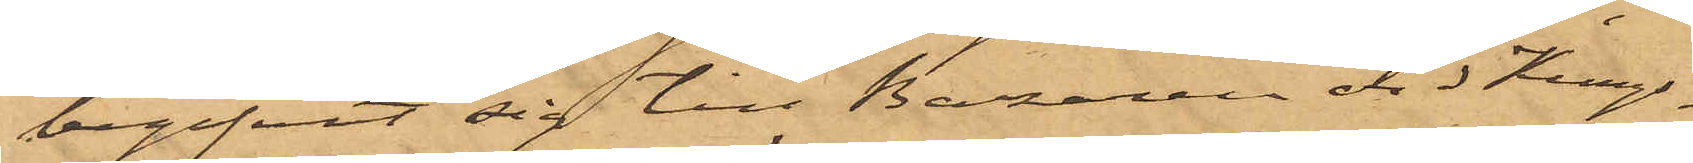begifvit sig till Bazaren vid Kungs¬
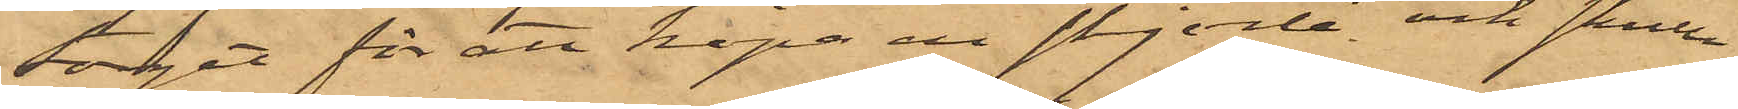torget för att köpa en skjorta och skulle
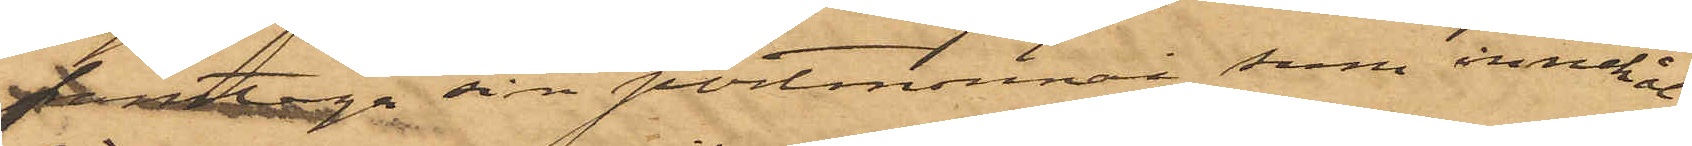framtaga sin portmonnai, som innehå¬
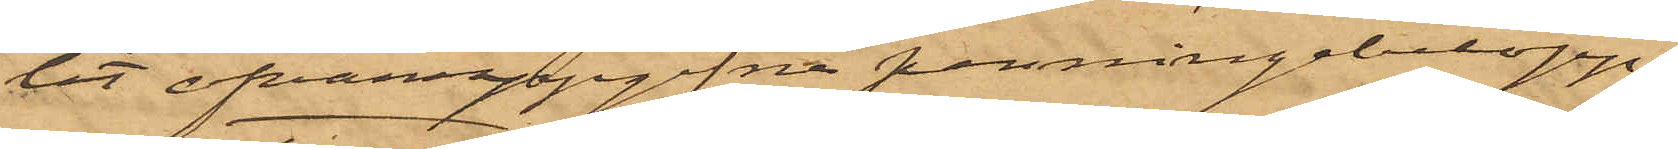let ofvanppgifna penningebelopp,
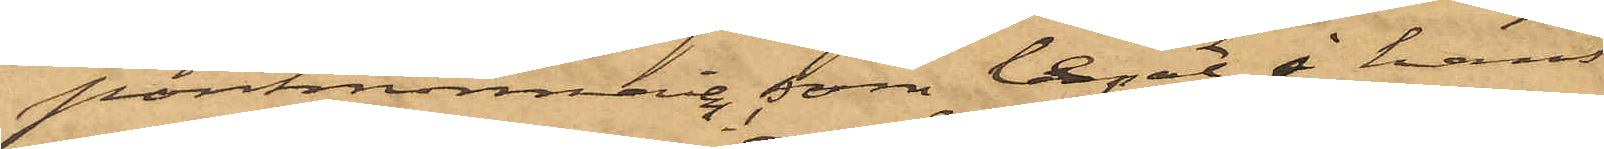portmonnaien, som legat i hans
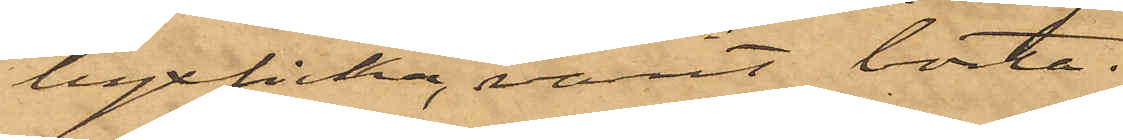byxficka, varit borta.
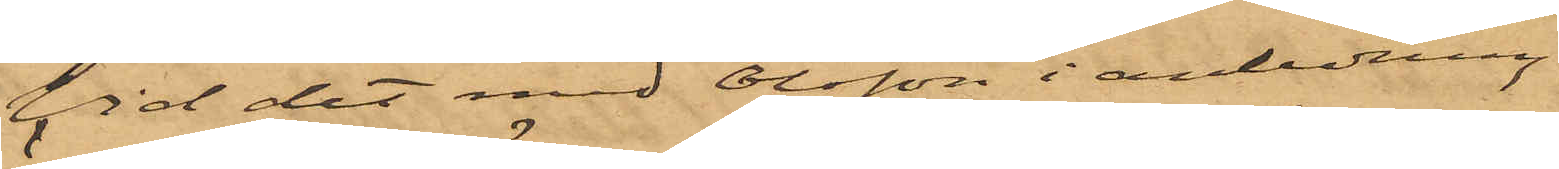Vid det med Olsson i anledning
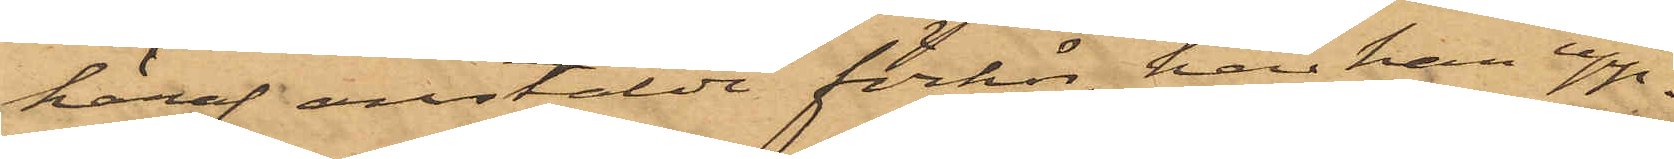häraf anstälde förhör, har han upp¬
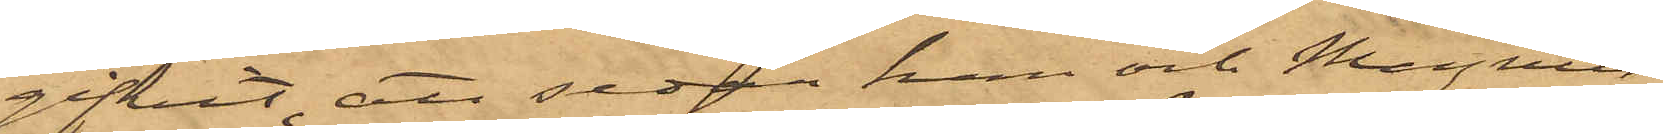gifvit, att sedan han och Magnus¬
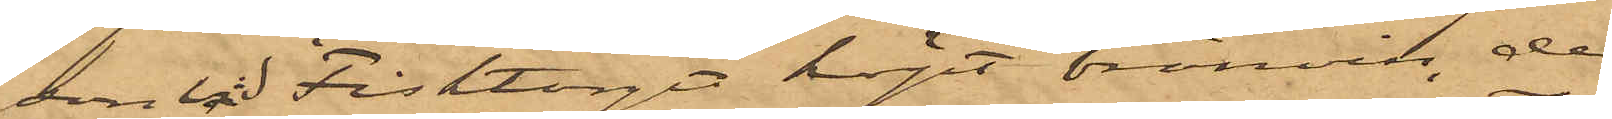son vid Fisktorget köpt bränvin, de
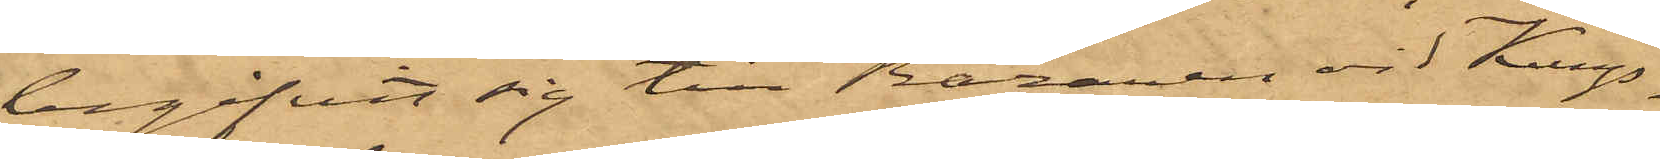begifvit sig till Bazaren vid Kungs¬
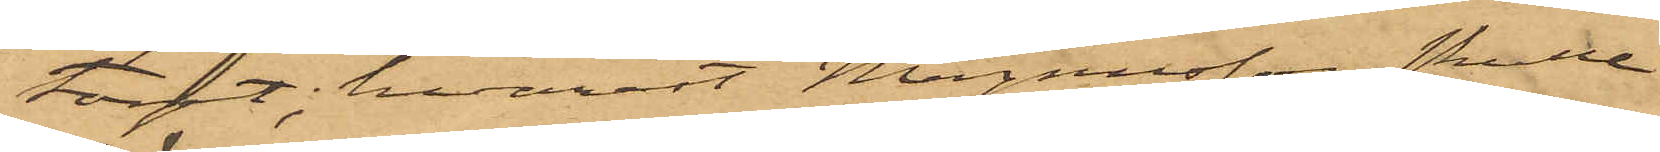torget; hvarest Magnusson skulle
